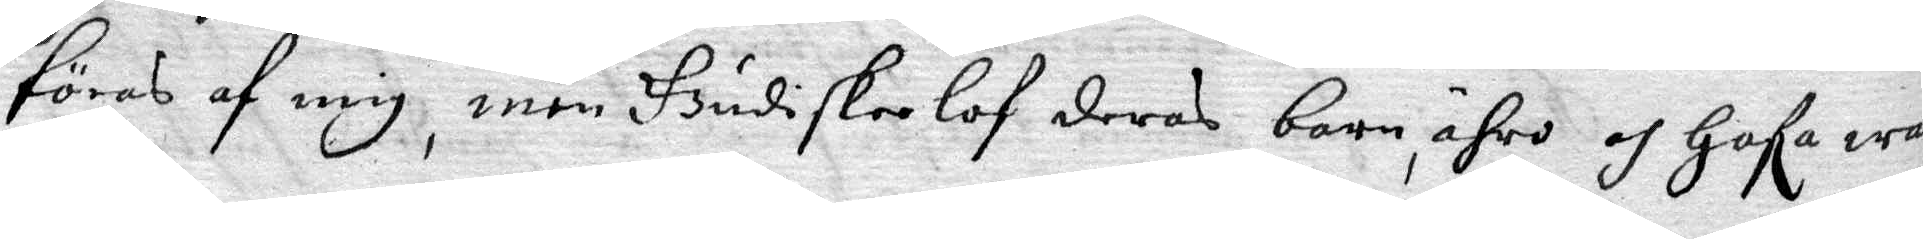föras af mig, men Gudiskeelof deras barn, ähro och Gafa warit
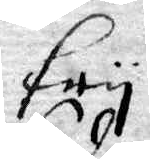fry.
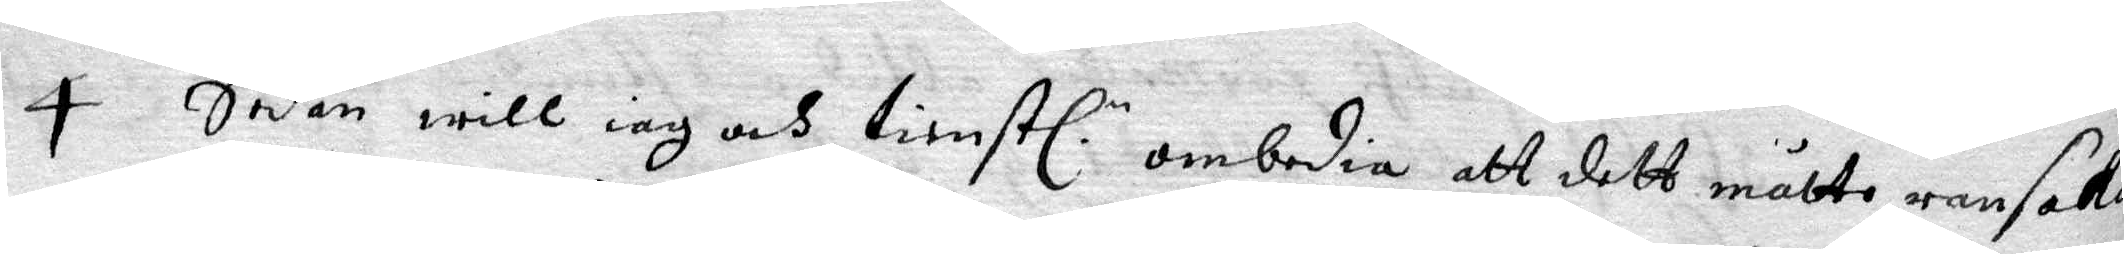4 Sedan will iag och tienstl. n ombedia att dett måtte ransakas
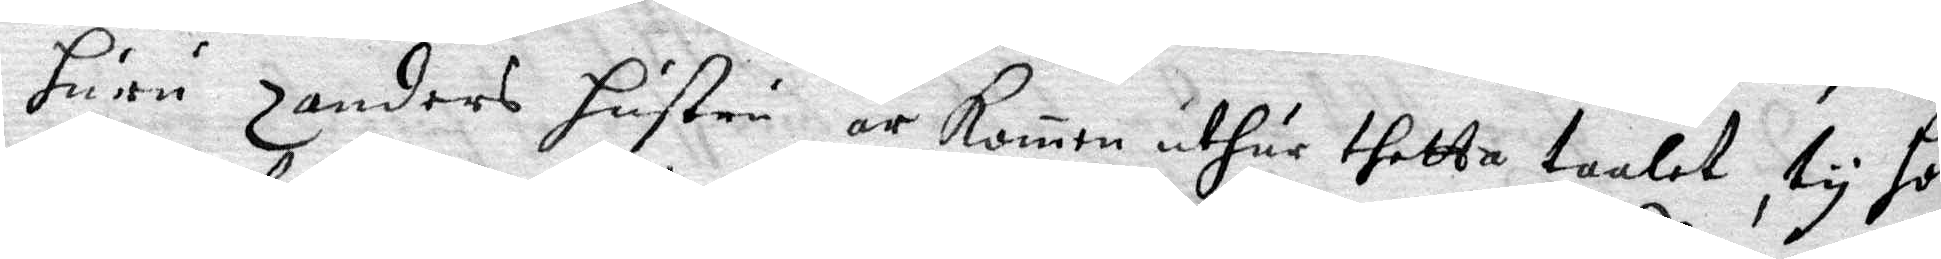huru Zanders hustru är kommen uthur thetta taalet, ty hon
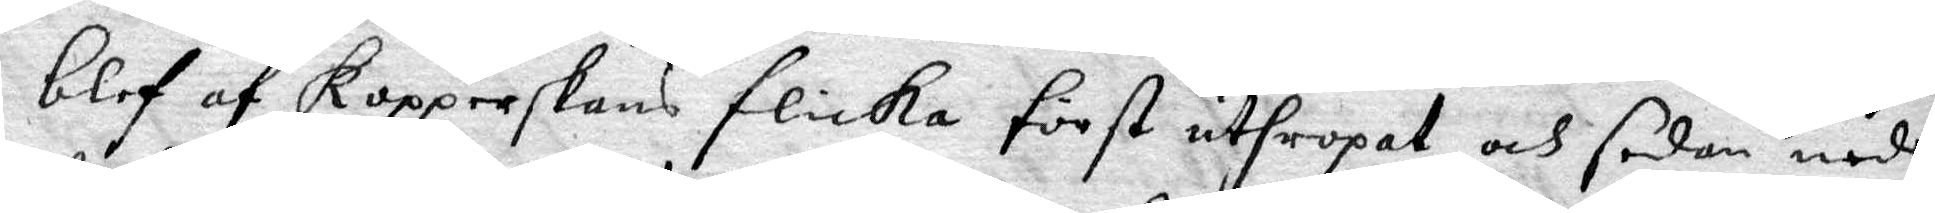blef af Kopperskas flicka först uthropat, och sedan neder¬
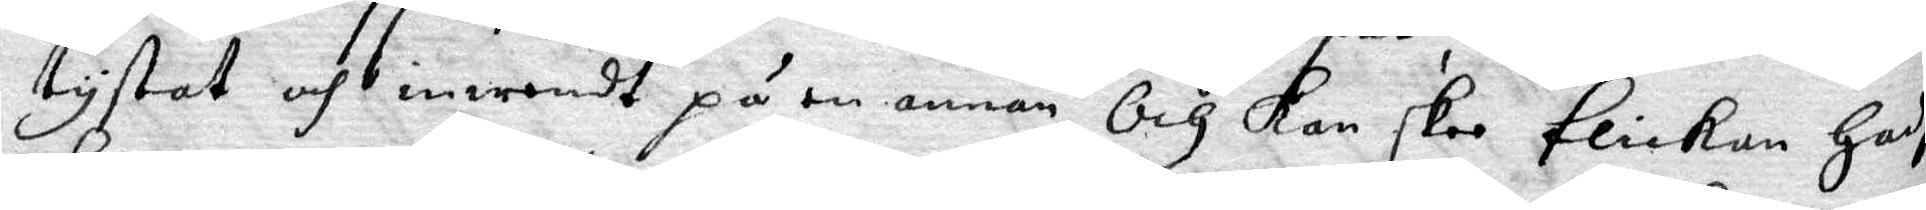tystat och inwendt på en annan, Och Kan skee flickan Hafhe
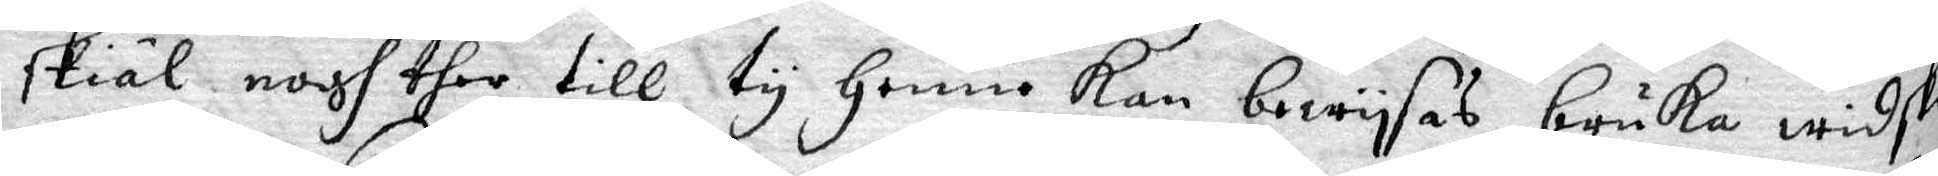skiäl nogh ther till, ty Henne Kan bewysas bruka widske¬
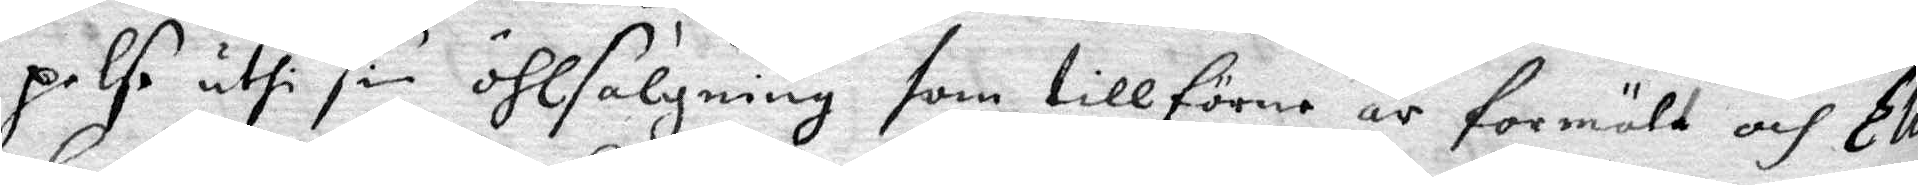pelse uthi sin öhlsälgning som tillförne är förmält och Elis
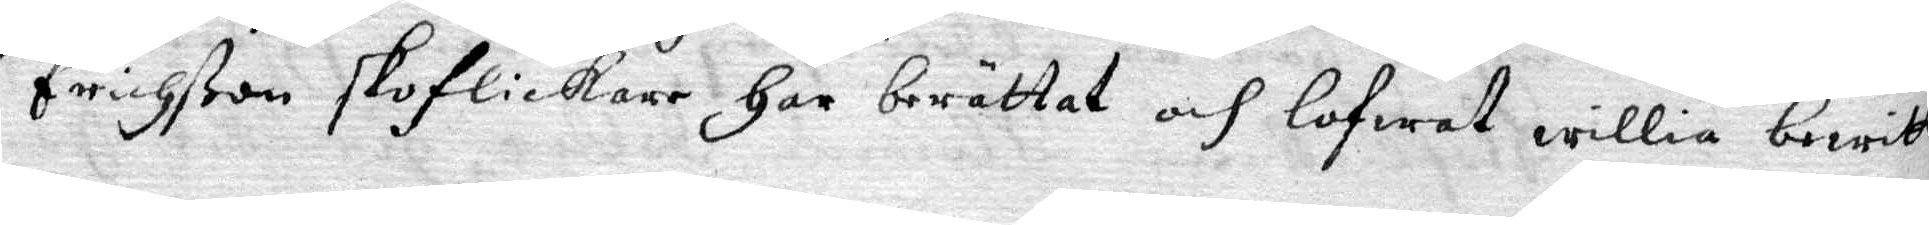Erichßon skoflickare Har berättat och lofwat willia berätta
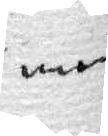men
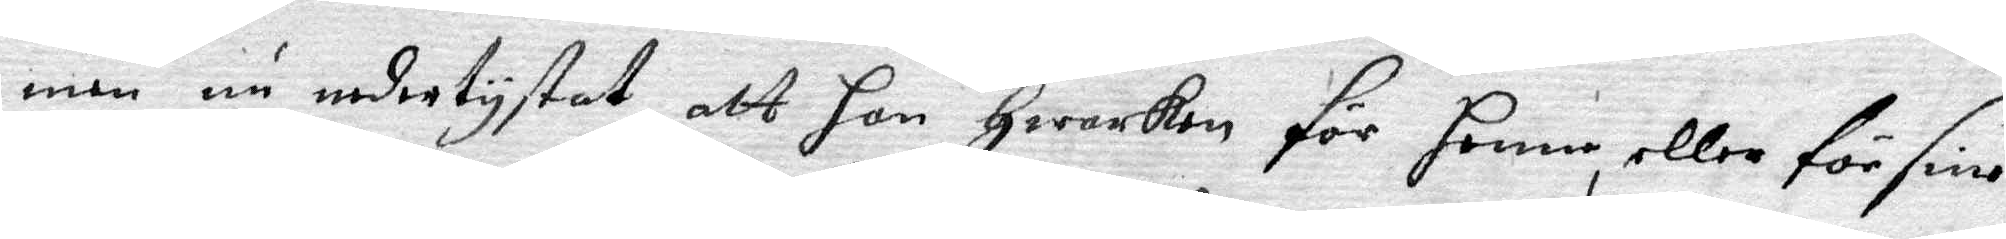men nu nedertystat att han Hwarken för henne, eller sine
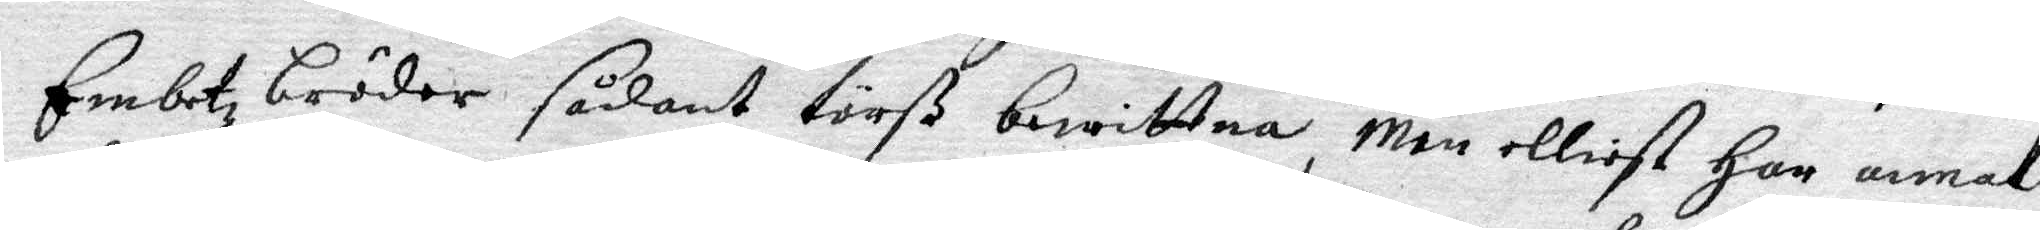Embetzbröder sådant törß bewittna, men elliest Har annat
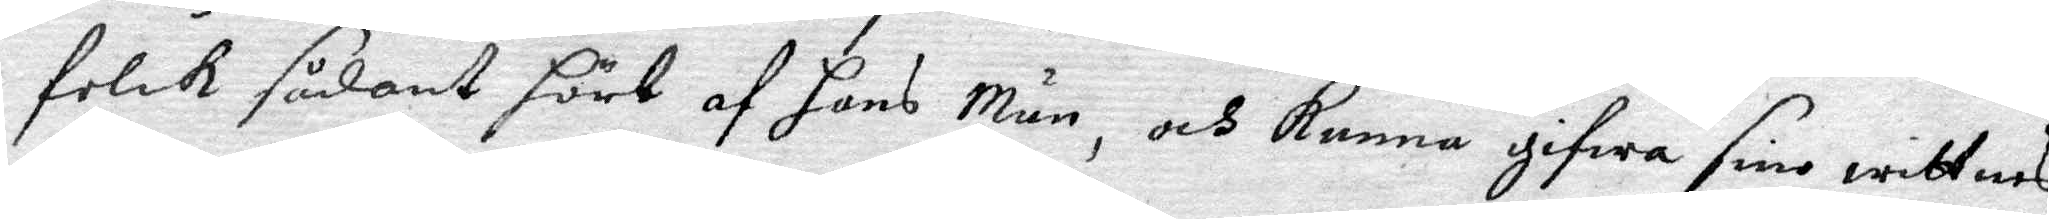folck sådant hört af hans Män, och Kunna gifwa sine wittnes¬
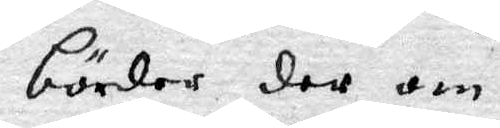börder der om.
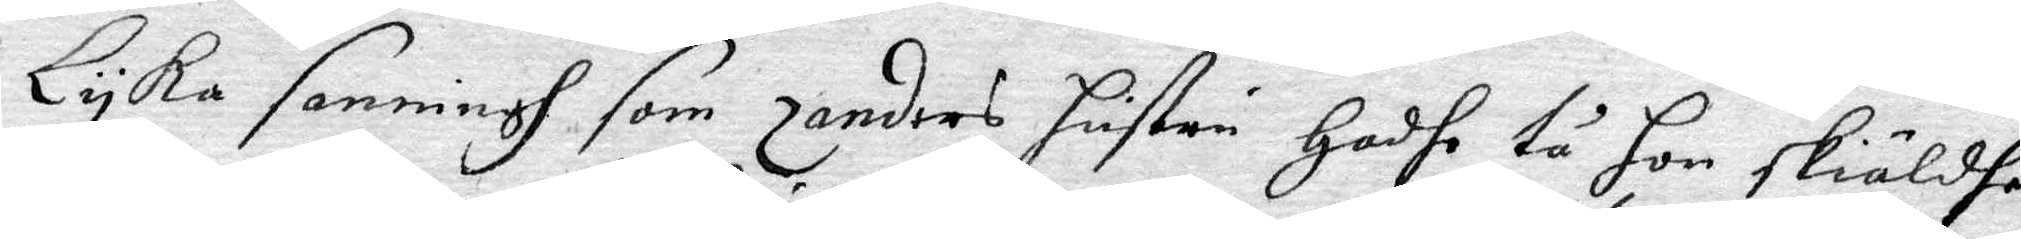Lyka sanningh som Zanders hustru Hadhe tå hon skiäldhe
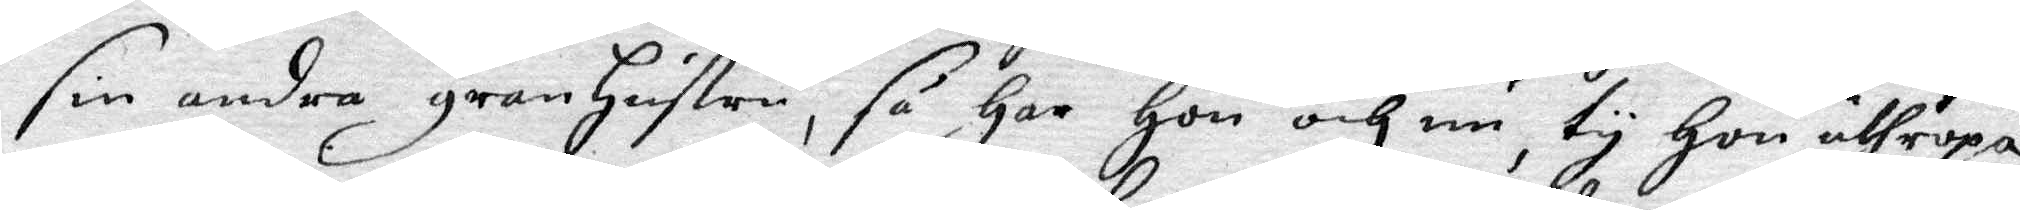sin andra granhustru, så Har Hon och nu, ty Hon uthropa¬
